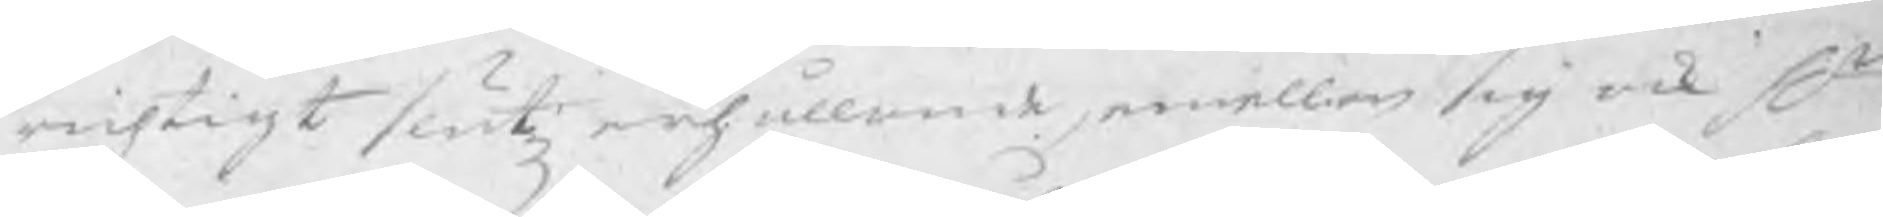rigtigt slutz erhållande, emellan sig ock Hr
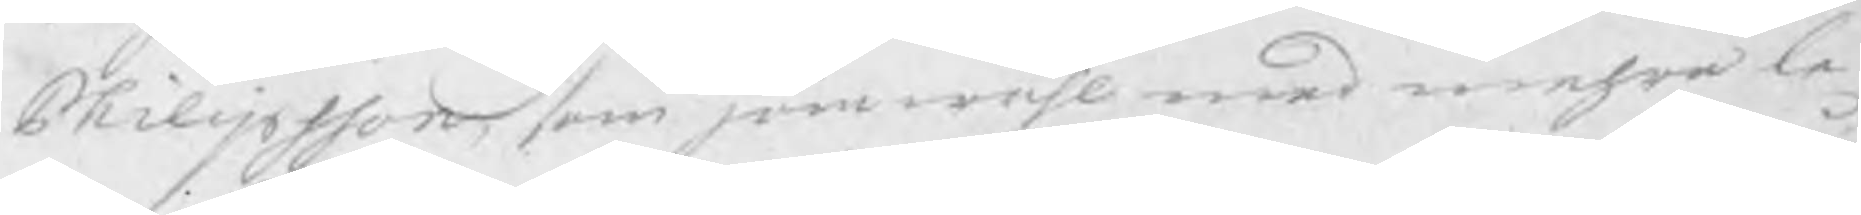Philipsson, som jämwähl med mehra la
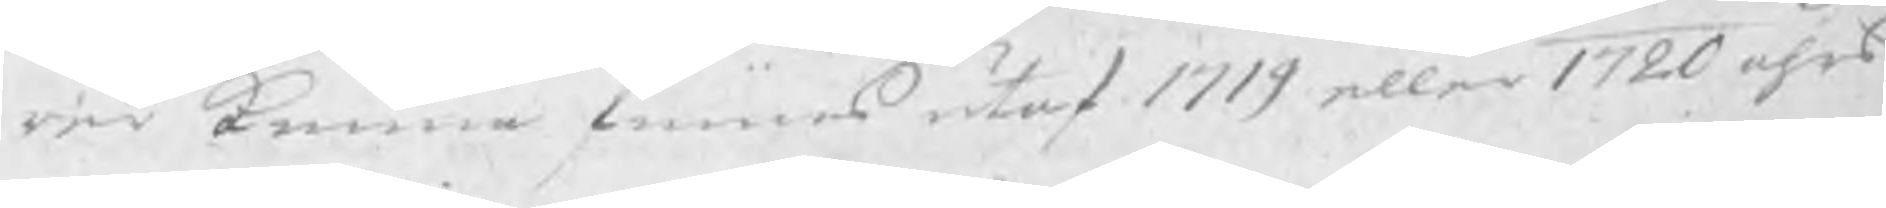rer kunna finnas 1719 eller 1720 åhrs
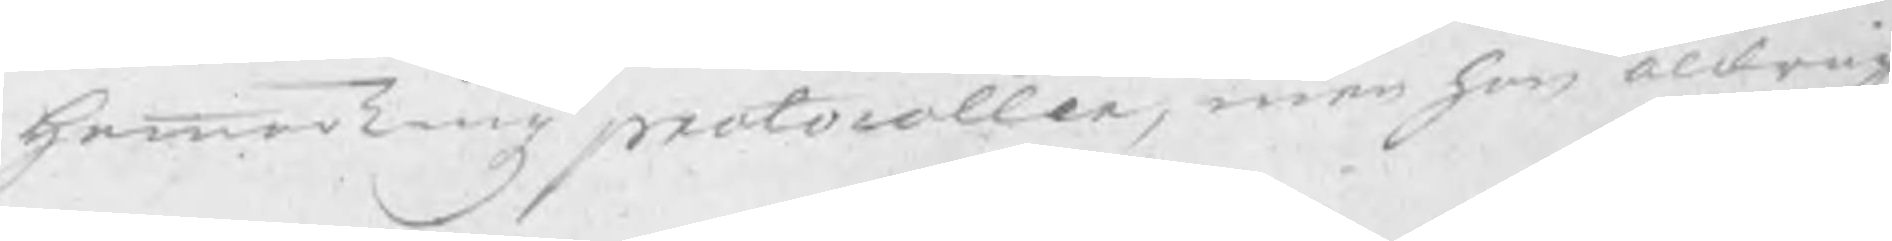HammarTingz protocoller, men han aldrig
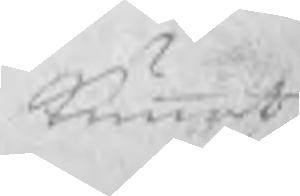kunnat
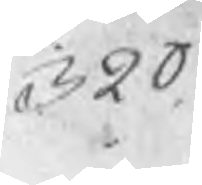320
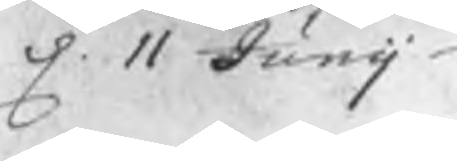d. 11 Junij
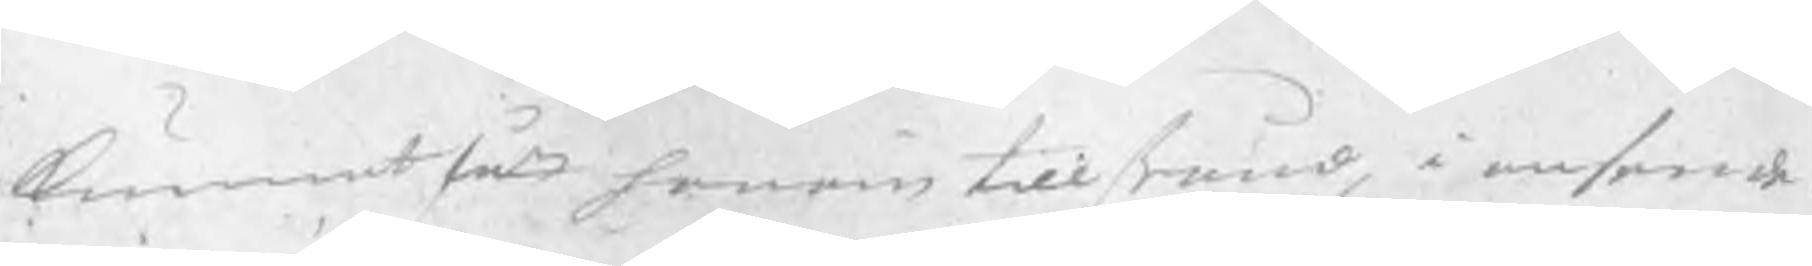kunnat fått honom till stånd, i anseende
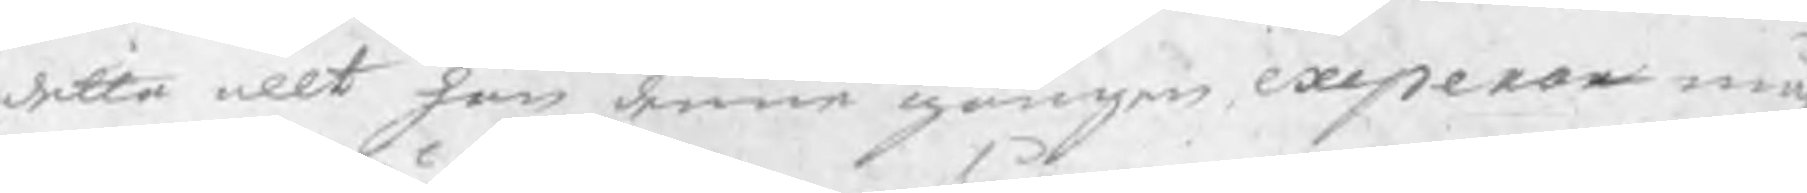detta allt han denne gången experar må
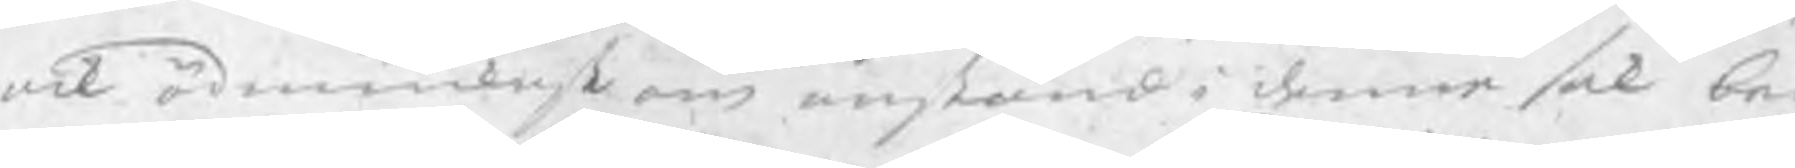ock ödmiukast om anstånd i denne sak beg
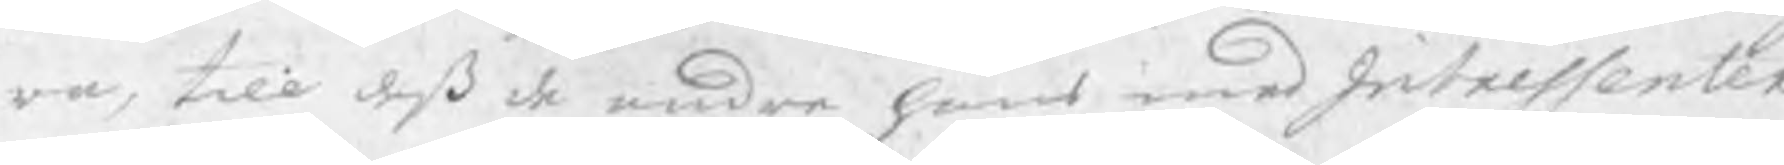ra, till deß de andra hans medIntressenter
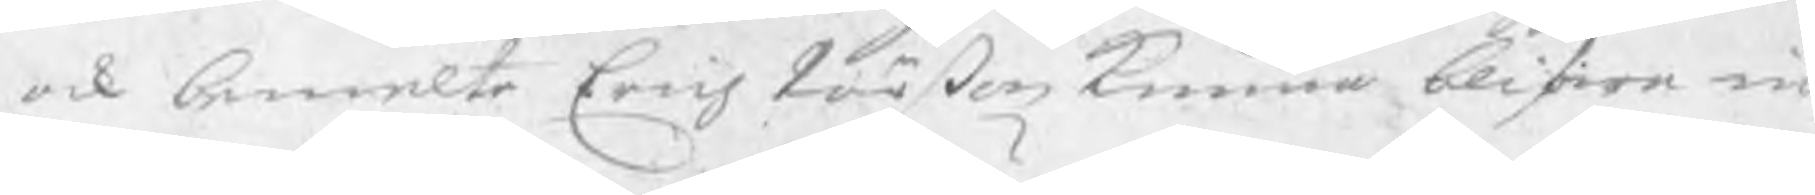ock bemelte Erich Pärßon kunna blifwa in
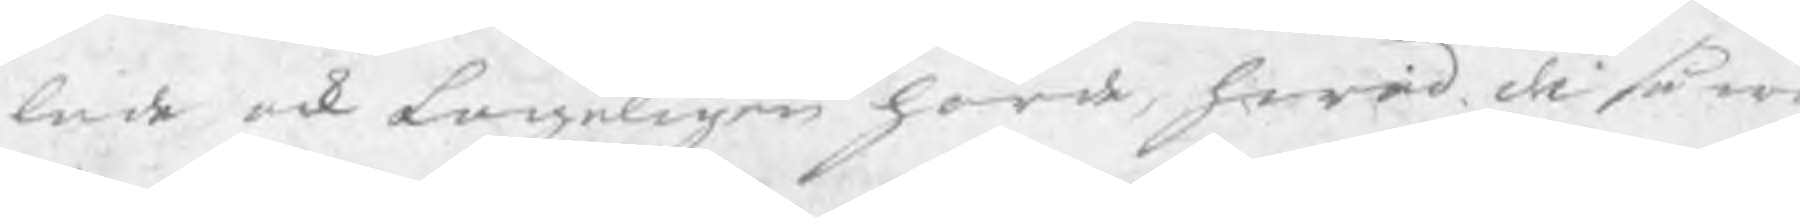lade ock Lageligen hörde, hwad de så w
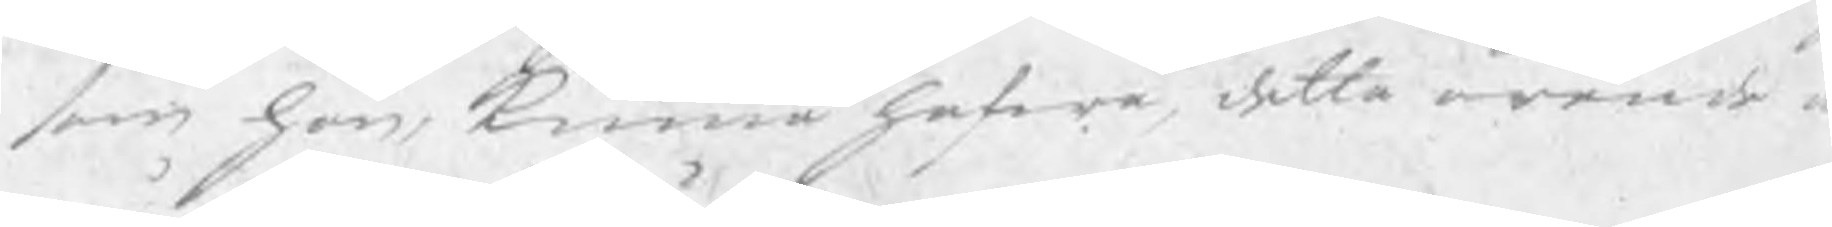som han, kunna hafwa detta ärende a
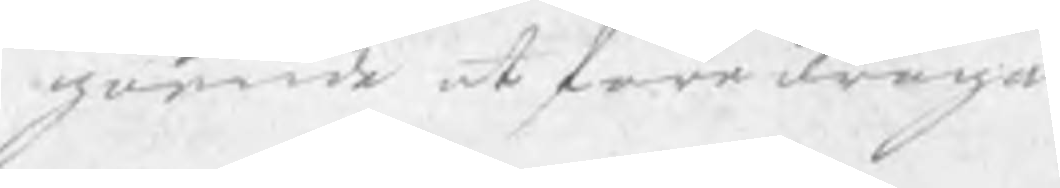görande at föredraga.
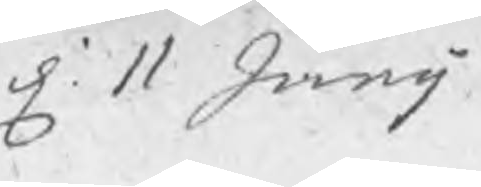d. 11 Junij
